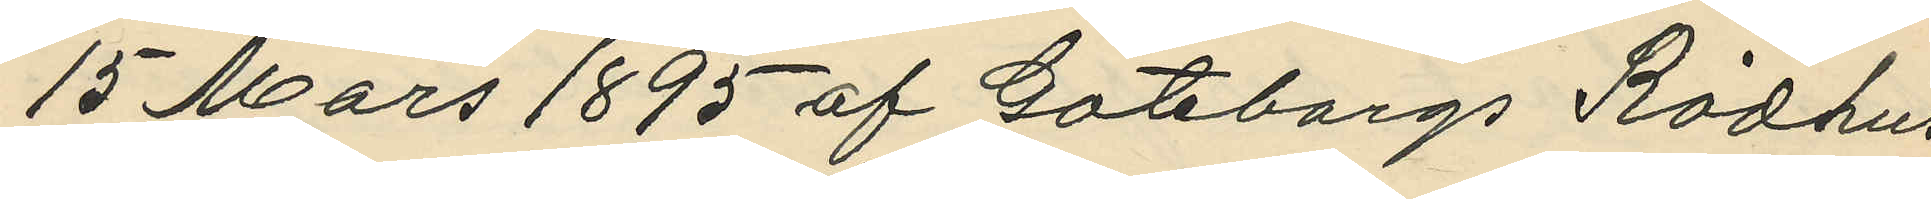15 Mars 1895 af Göteborgs Rådhus
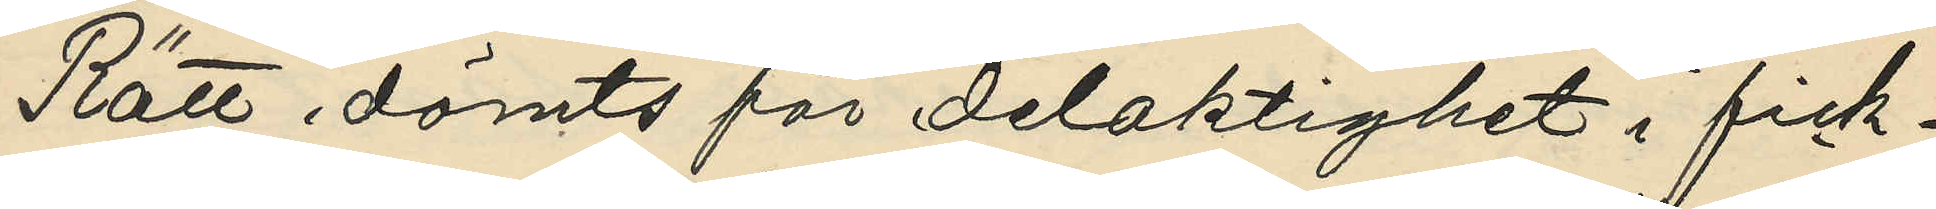Rätt dömts för delaktighet i fick¬
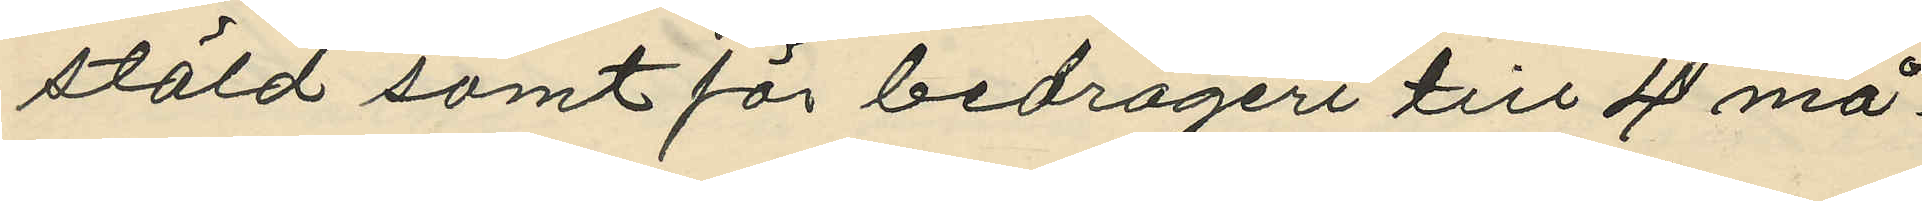stöld samt för bedrägeri till 4 må¬
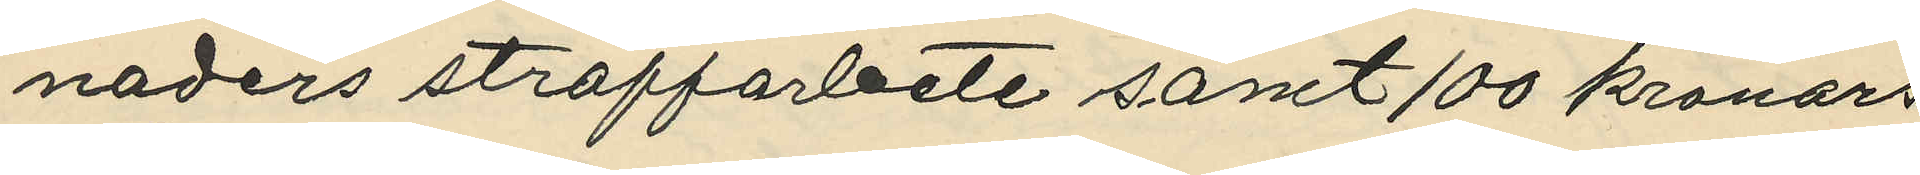naders straffarbete samt 100 kronors
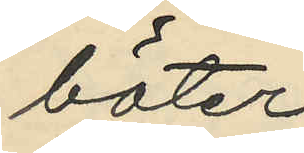böter.
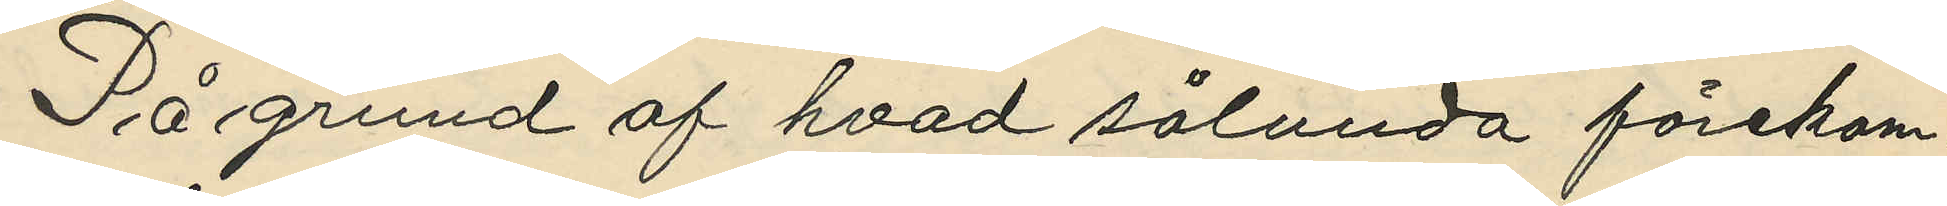På grund af hvad sålunda förekom¬
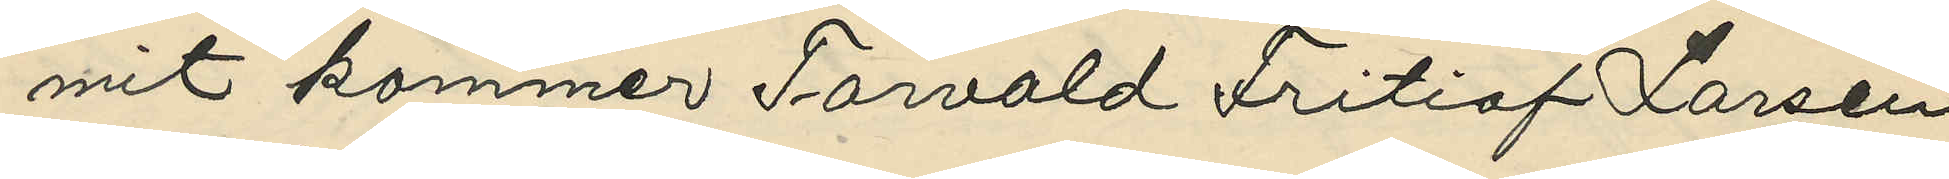mit kommer Torvald Fritiof Larsen
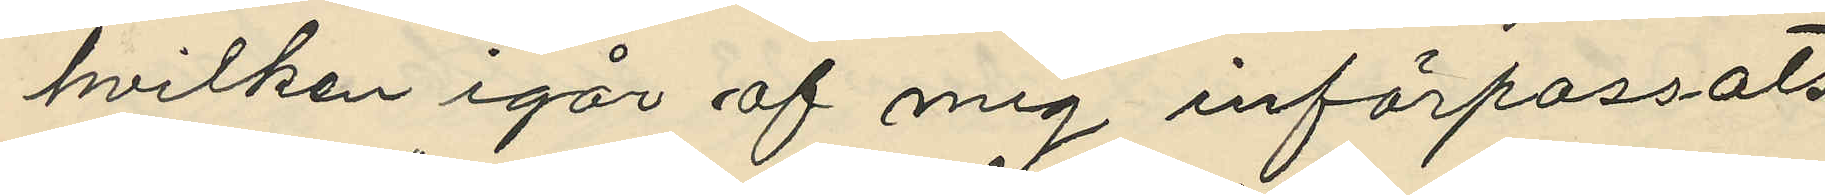hvilken igår af mig införpassats
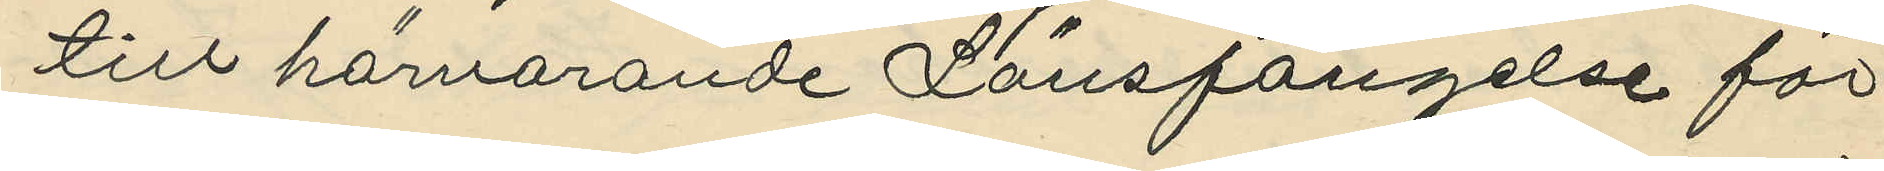till härvarande Länsfängelse för
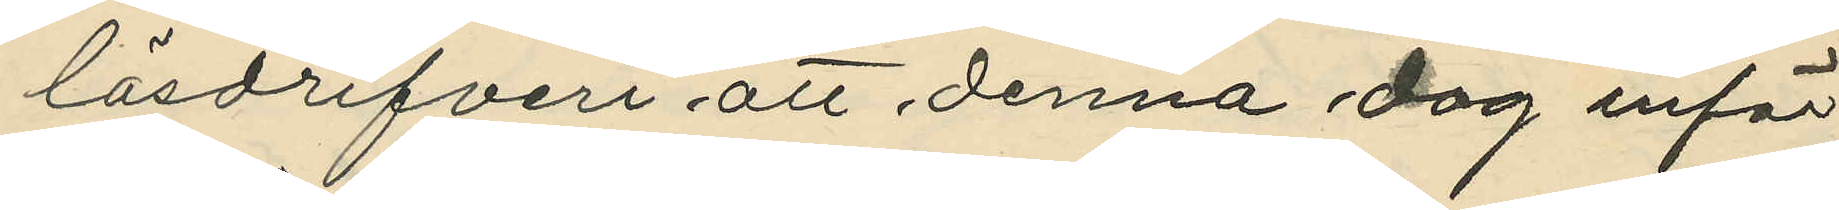lösdrifveri att denna dag inför
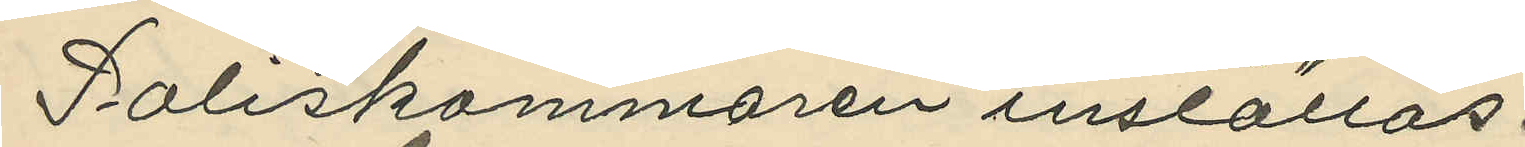Poliskammaren inställas.
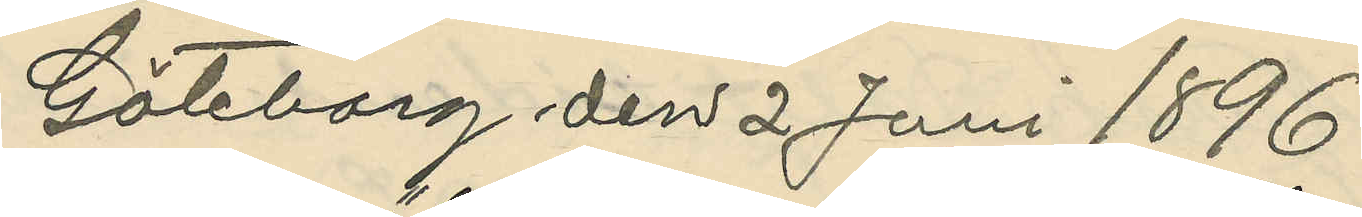Göteborg den 2 Juni 1896.
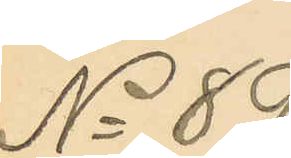No 89
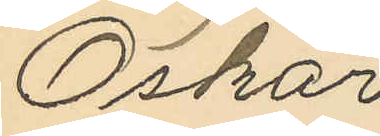Oskar
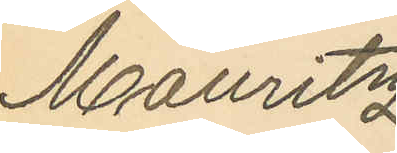Mauritz
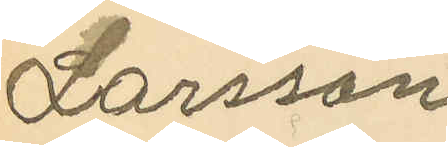Larsson
